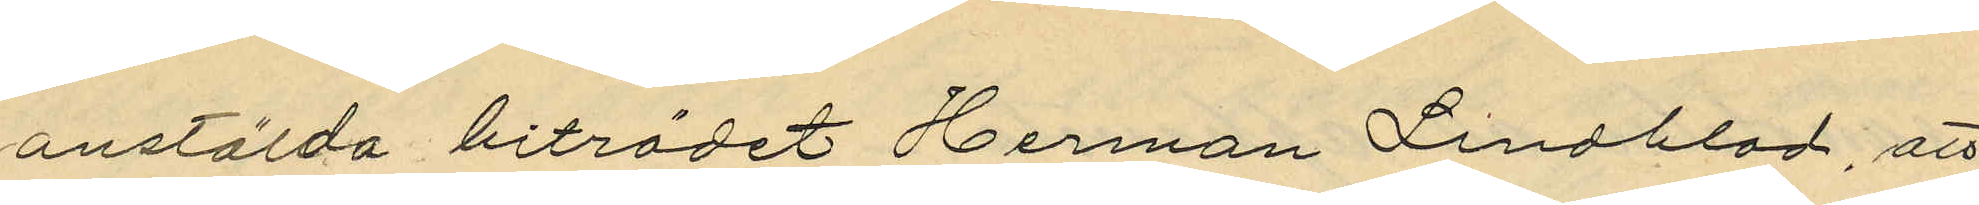anstälda biträdet Herman Lindblad, att
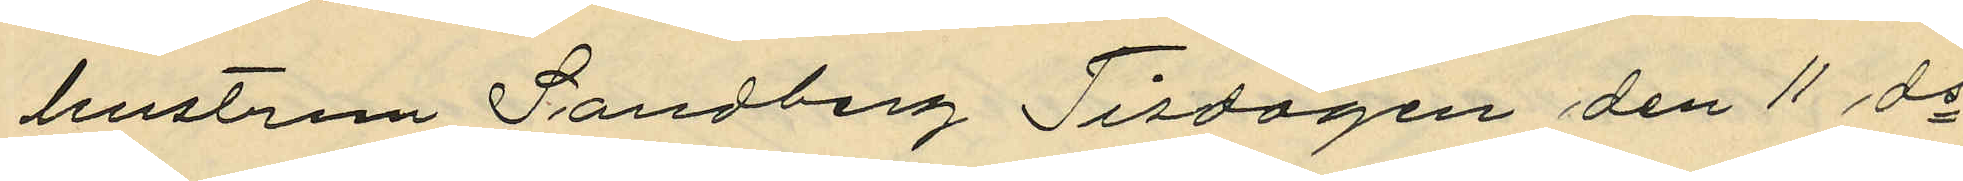hustrun Sandberg Tisdagen den 11 ds
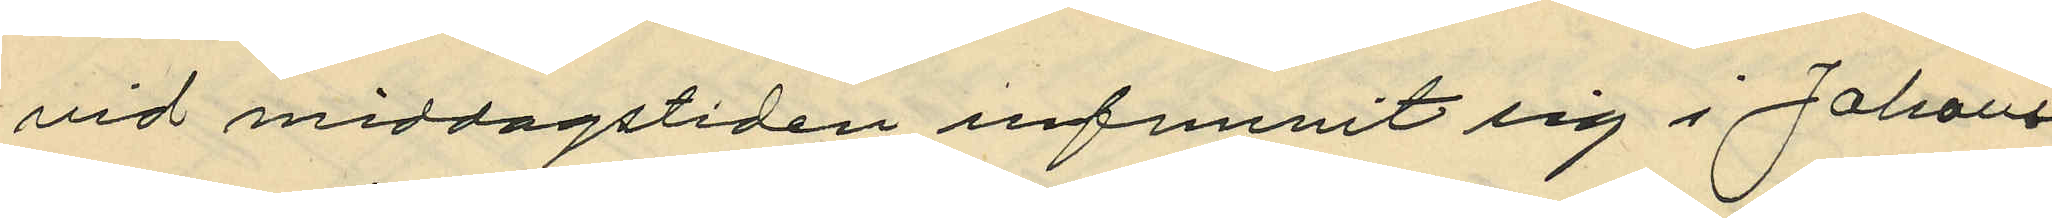vid middagstiden infunnit sig i Johans¬
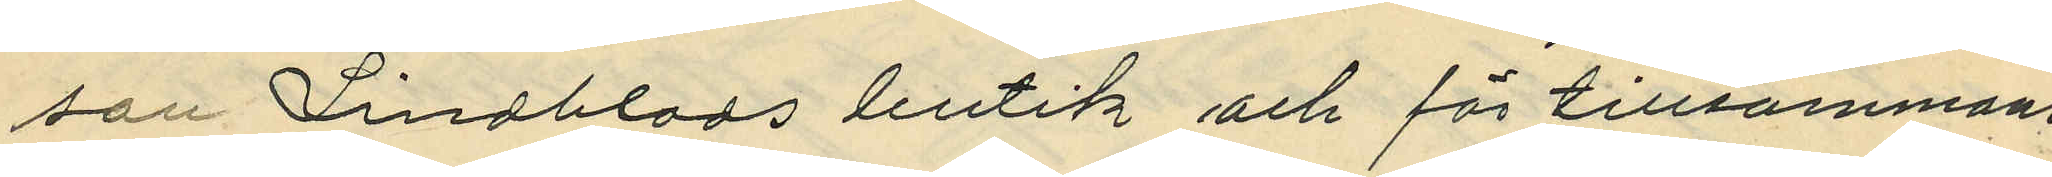son Lindblads butik och för tillsammans
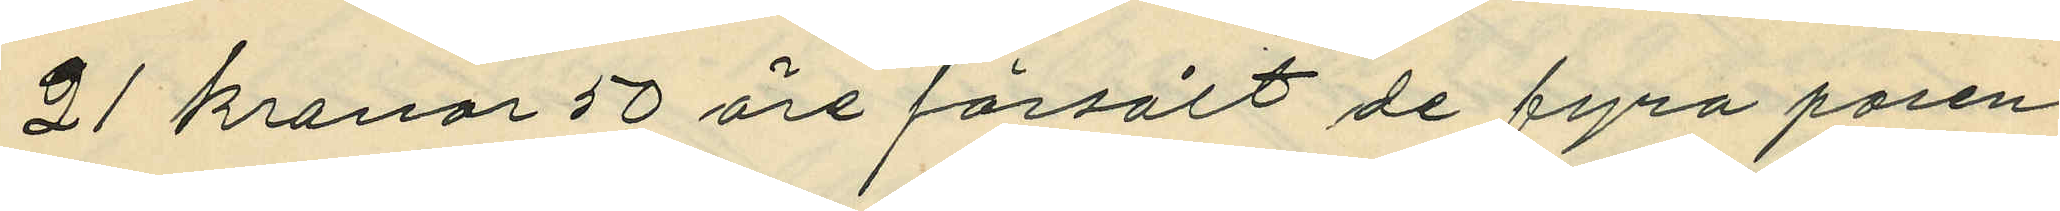21 kronor 50 öre försålt de fyra paren
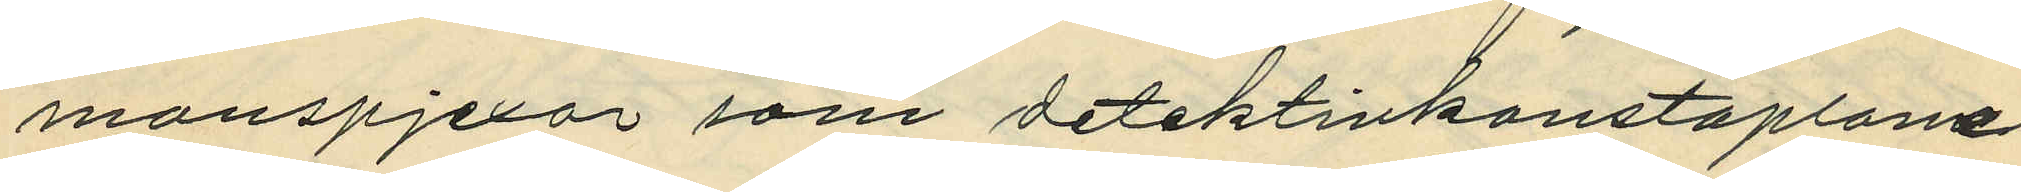manspjexor som detektivkontaplarne
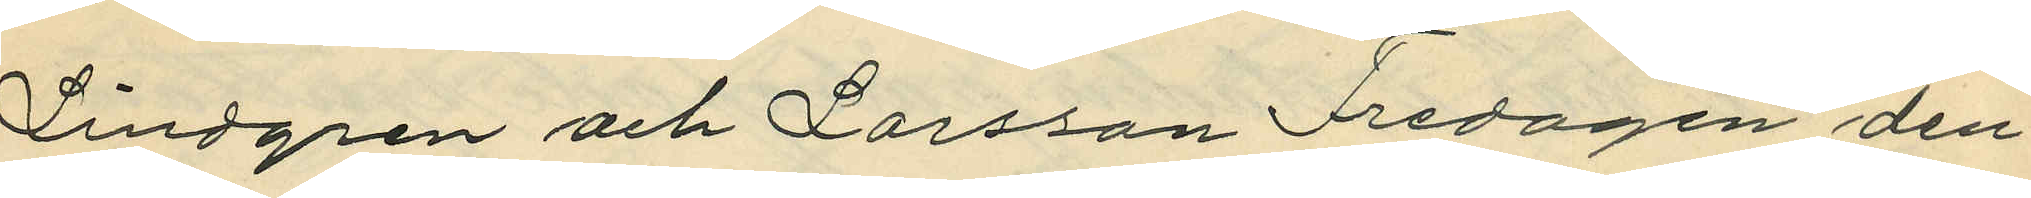Lindgren och Larsson Fredagen den
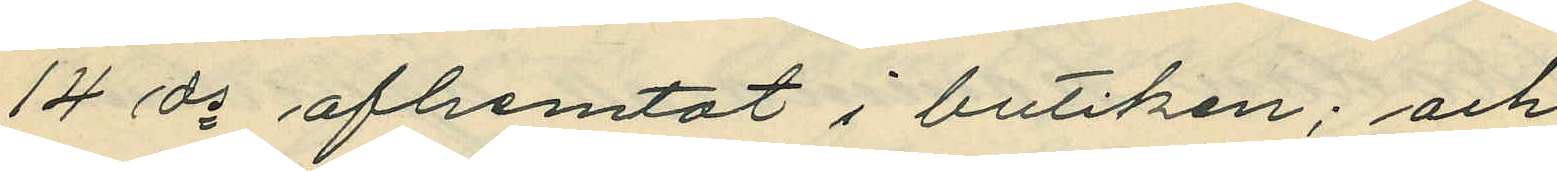14 ds afhemtat i butiken; och
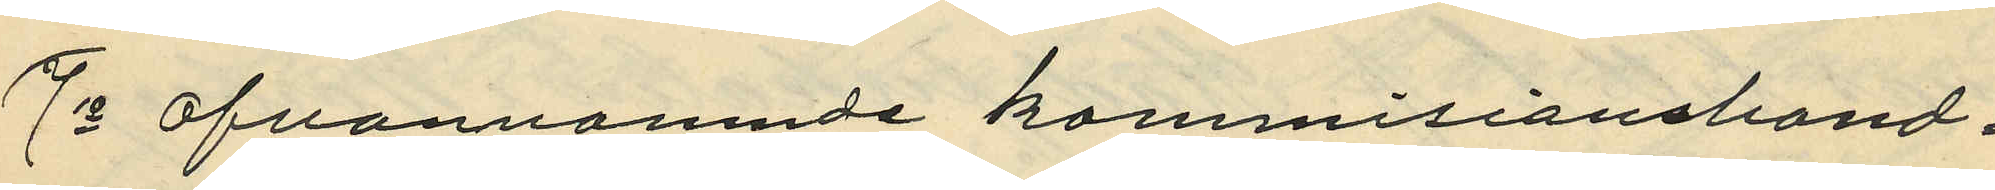7o ofvannamnde kommisionshand¬
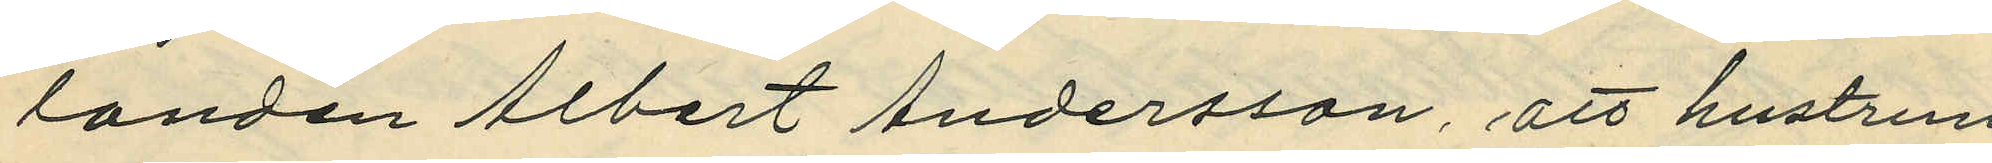landen Albert Andersson, att hustrun
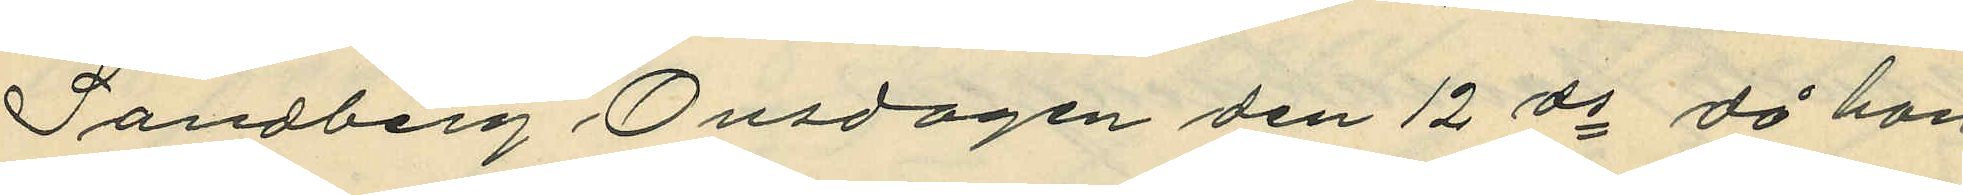Sandberg Onsdagen den 12 ds då hon
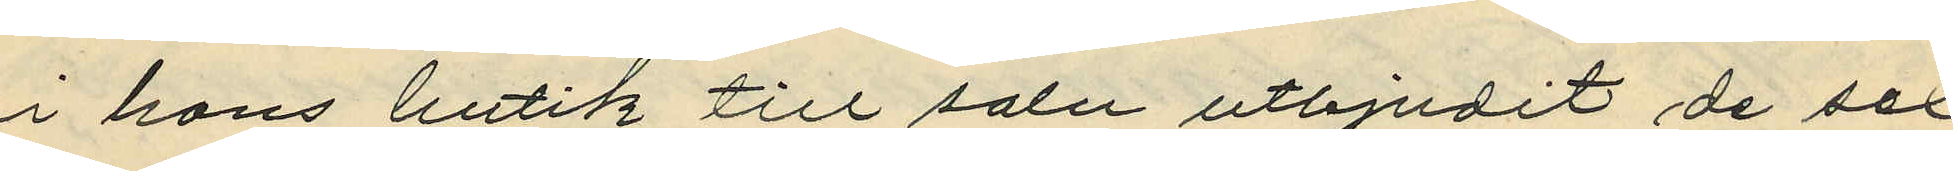i hans butik till salu utbjudit de sex
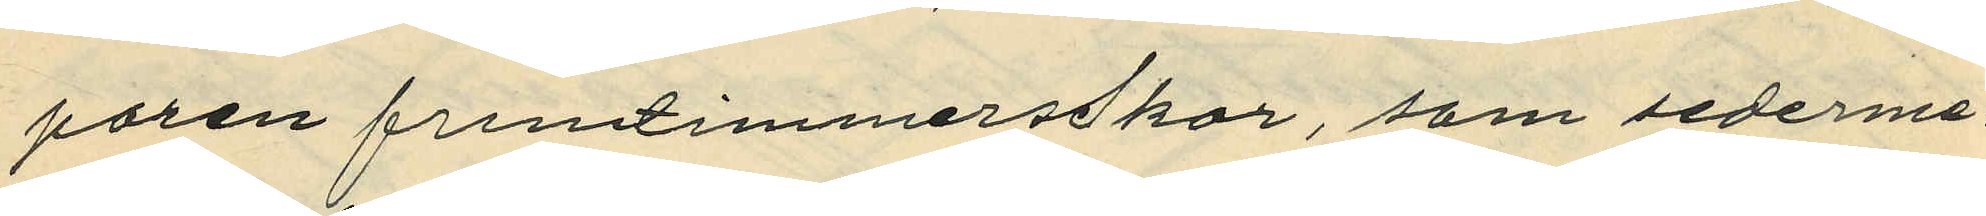paren fruntimmersskor, som sederme¬
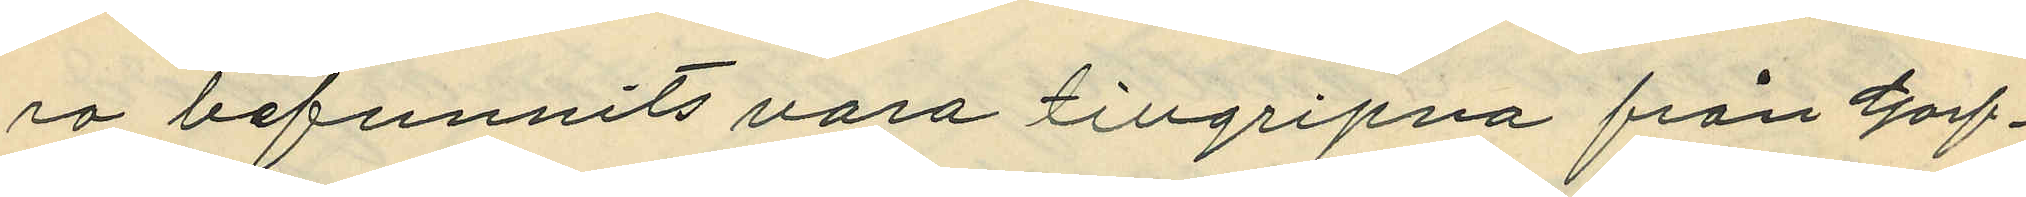ra befunnits tillgripna från Garf¬
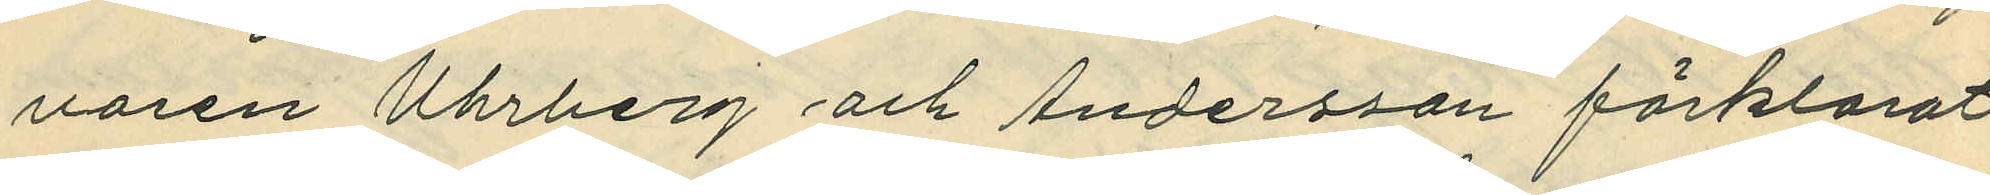varen Uhrberg och Andersson förklarat
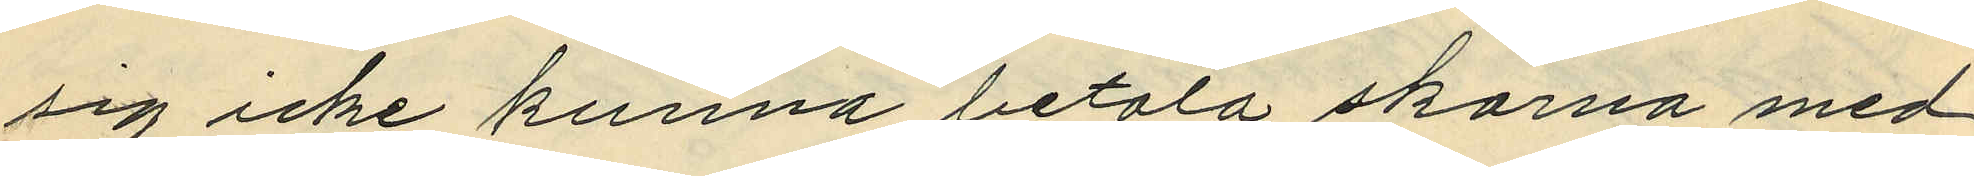sig icke kunna betala skorna med
